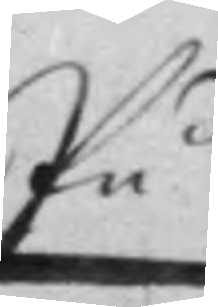På
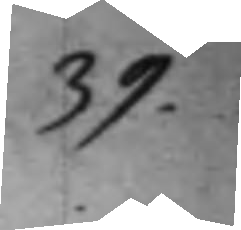39.
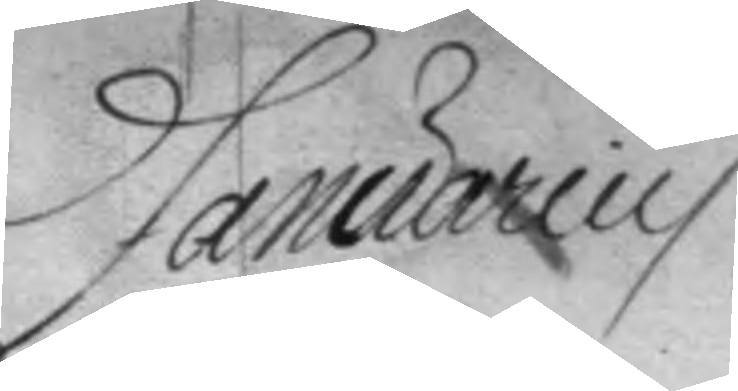Januarius
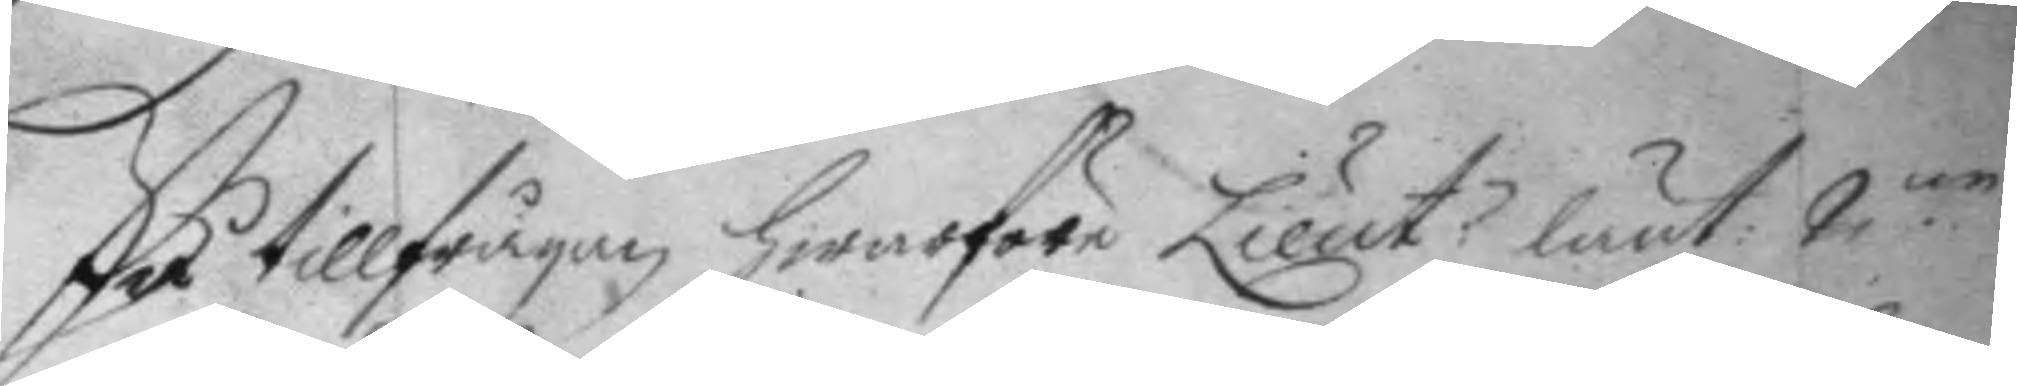På tillfrågan hwarföre Lieut. lånt 2.ne
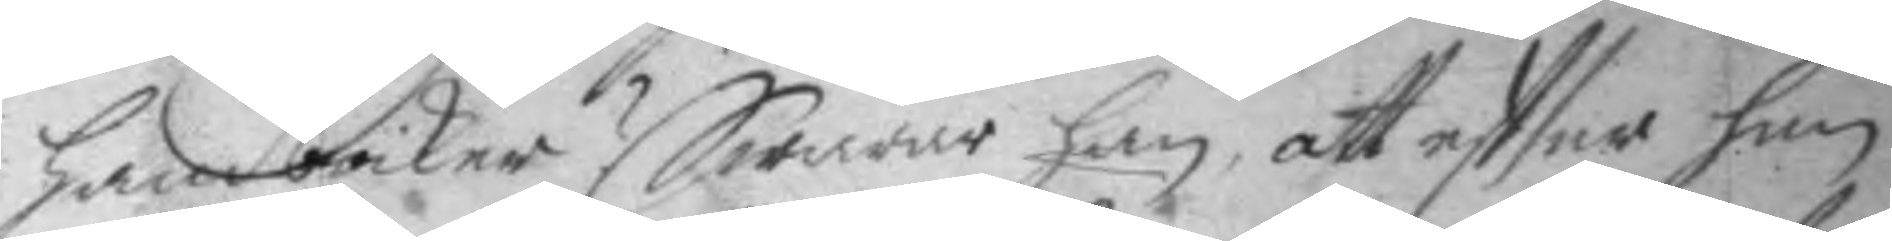handböcker? Swarade han att eftter han
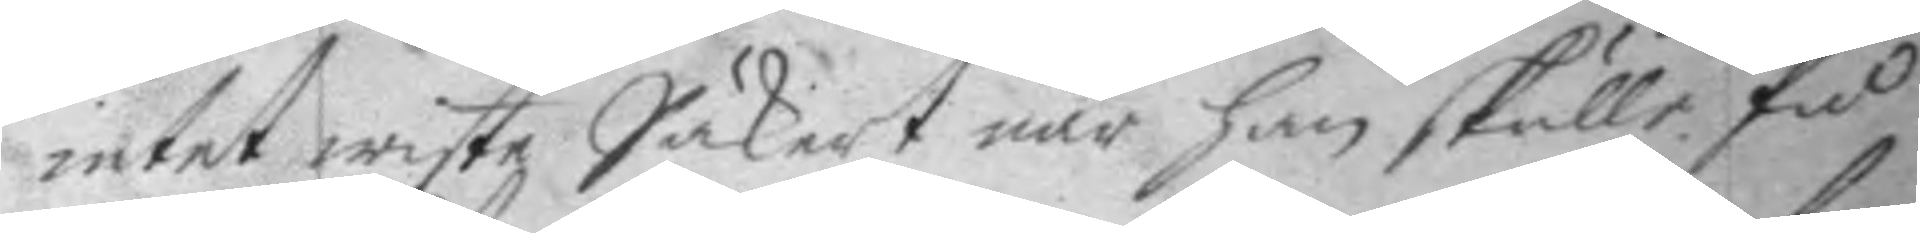intet wiste Säkert när han skulle få
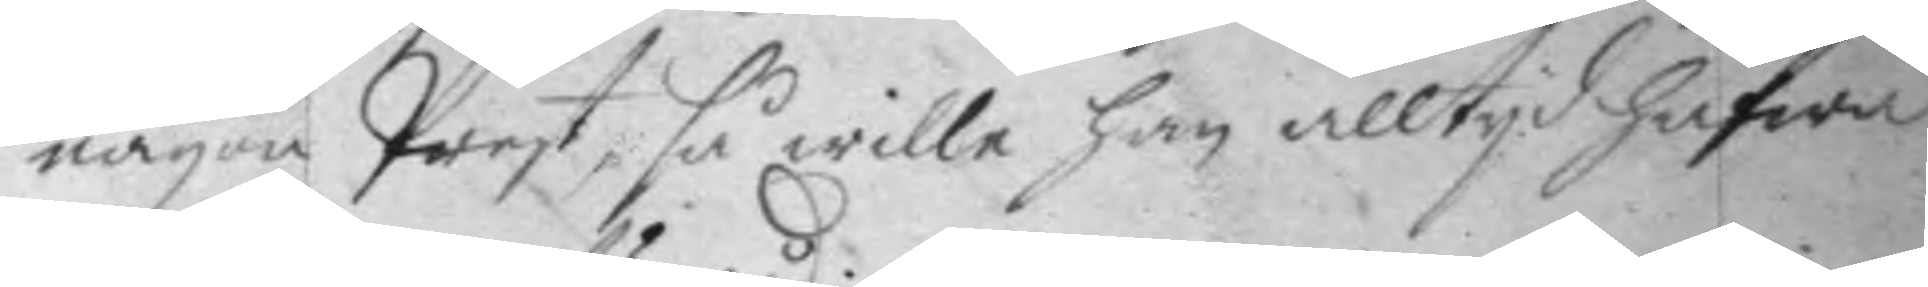någon Prest, så wille han slltyd hafwa
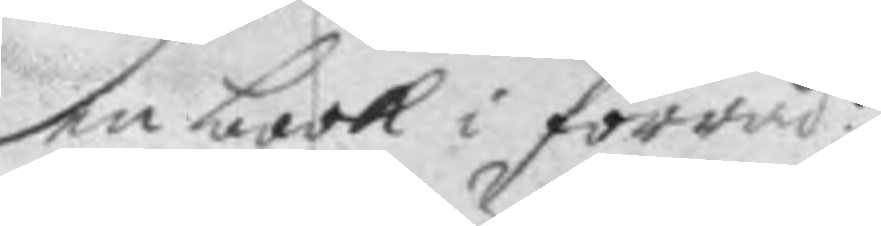en book i förråd:
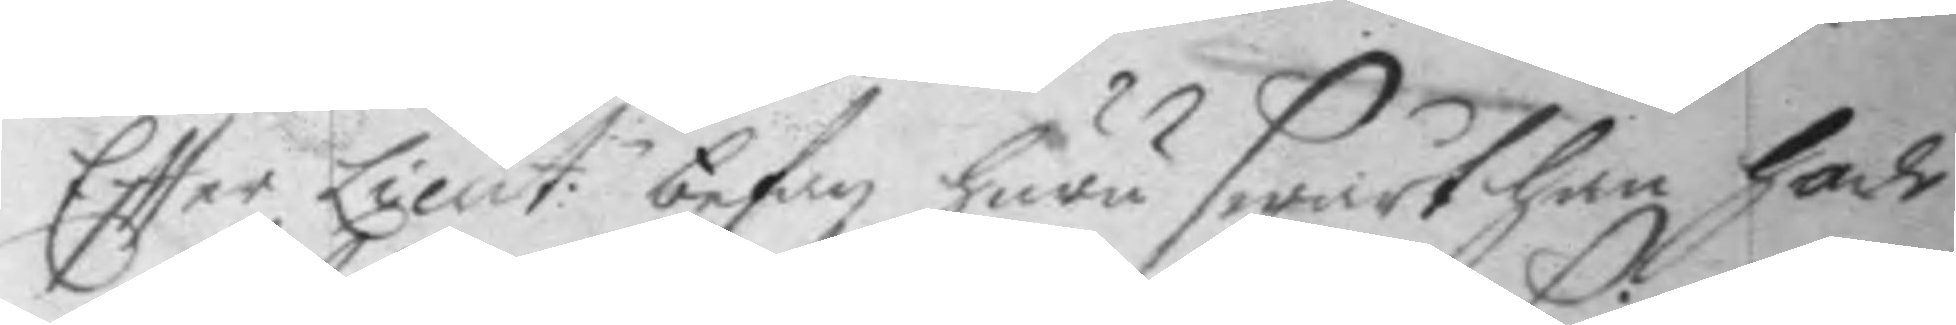Eftter Lieut:n befan huru swårt han hade
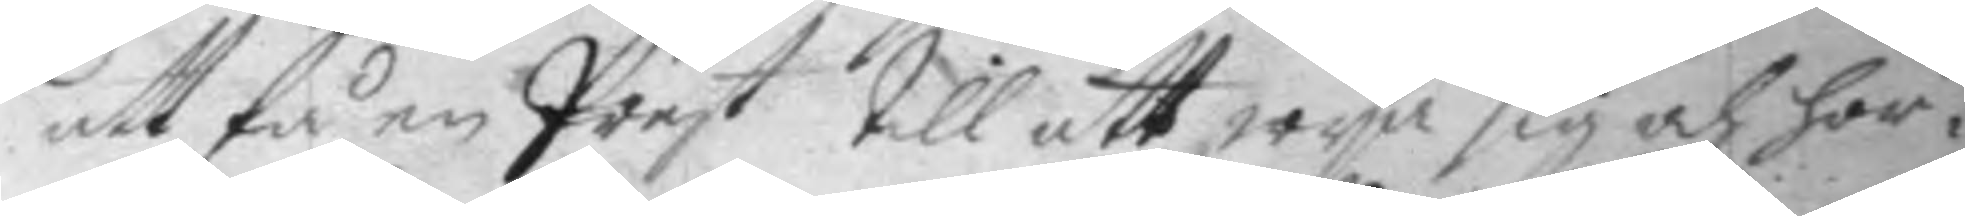att få en Prest till att wya sig och hör¬
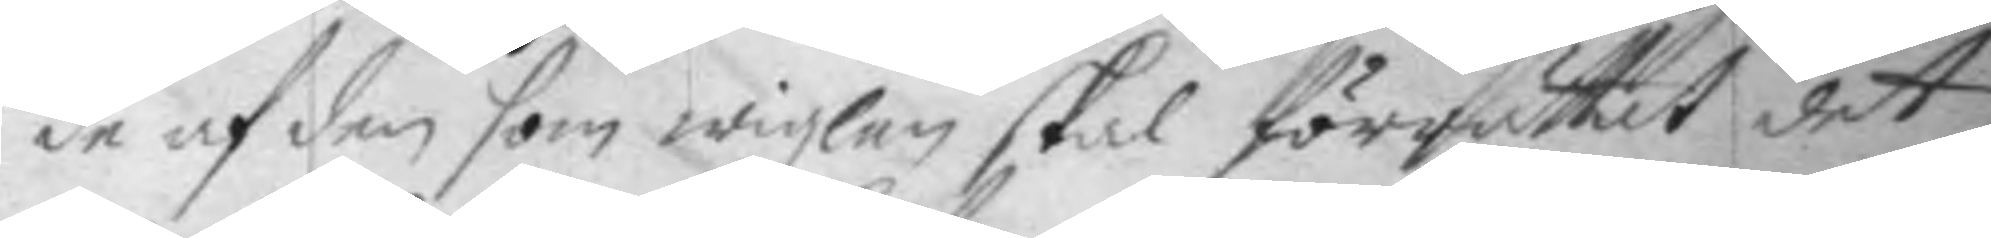de af den som wigzlen skal förrättat det
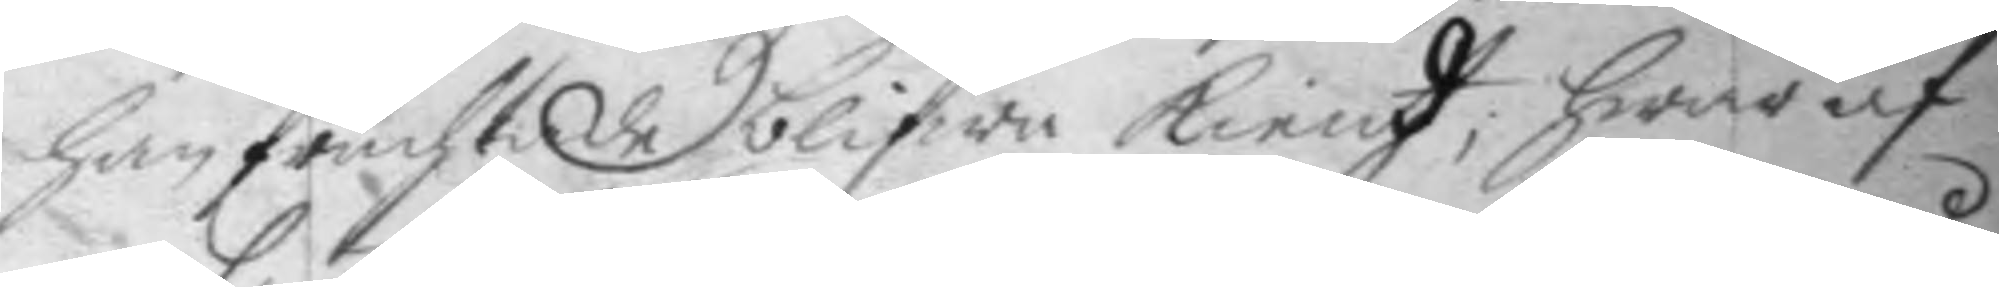han fruchtade blifwa kiendt; hwar af
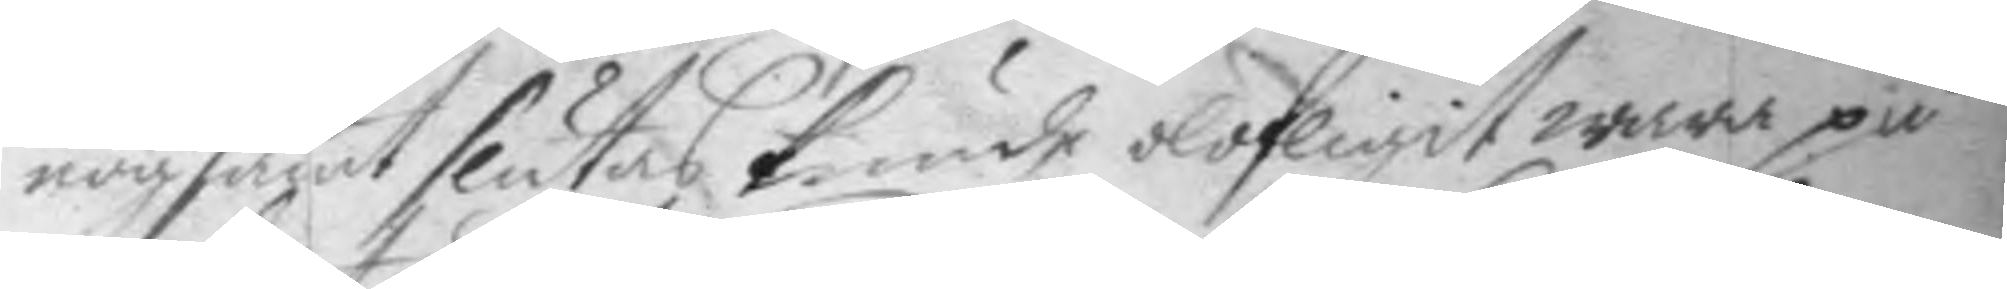nogsamt slutas kunde olofligit wara på
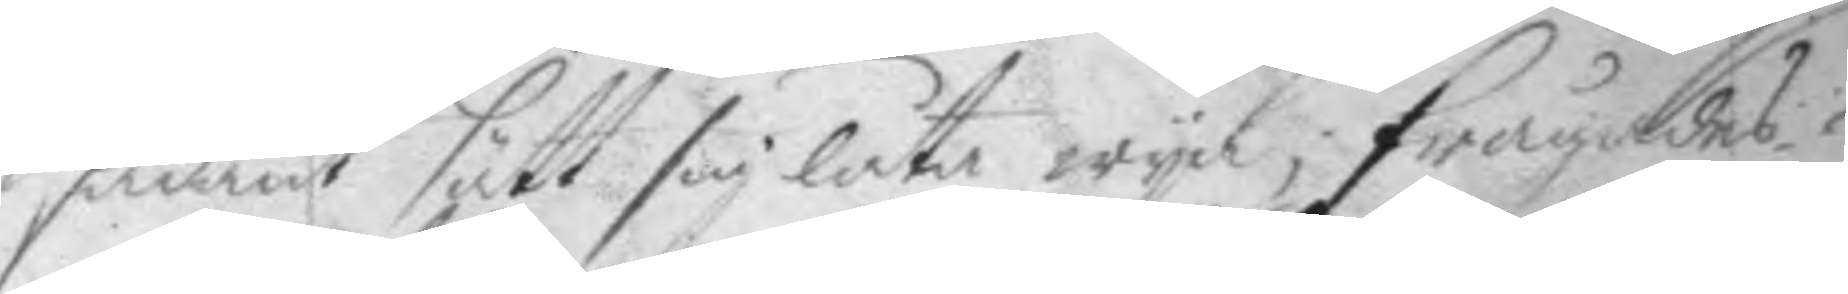sådant sätt sig låta wya; frågades
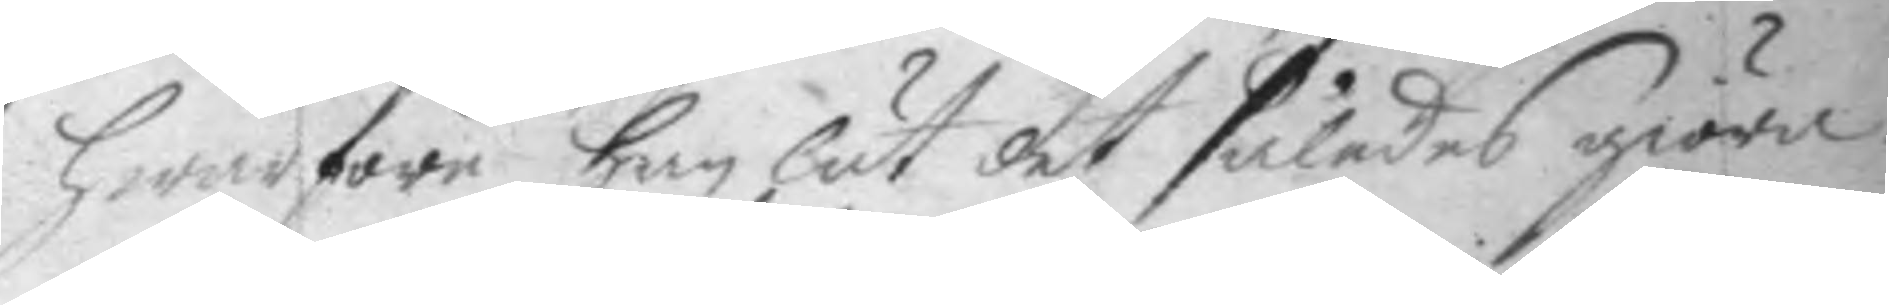hwarföre han lät det således giöra?
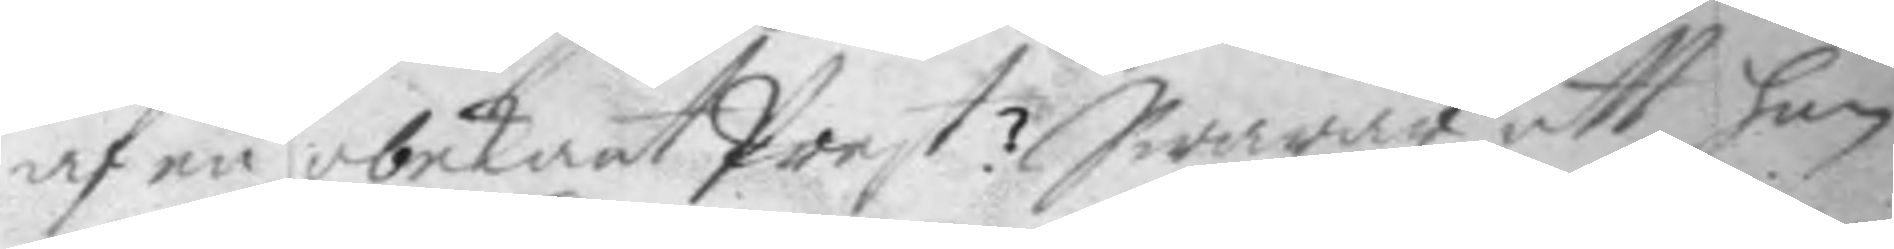af en obekant Prest? Swarar att han
